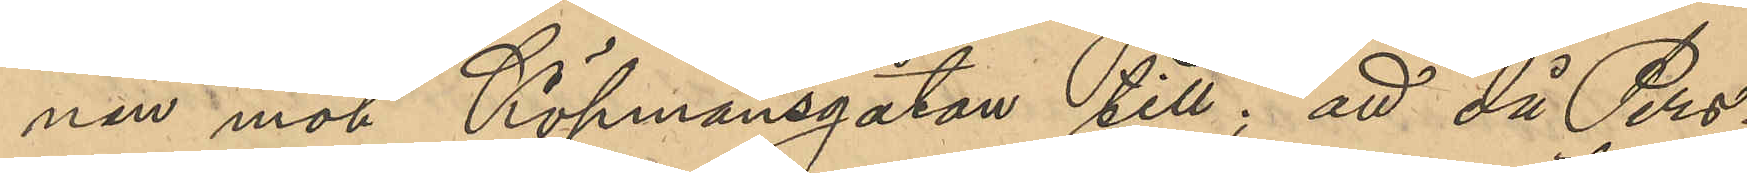nen mot Köpmansgatan till; att då Pers¬
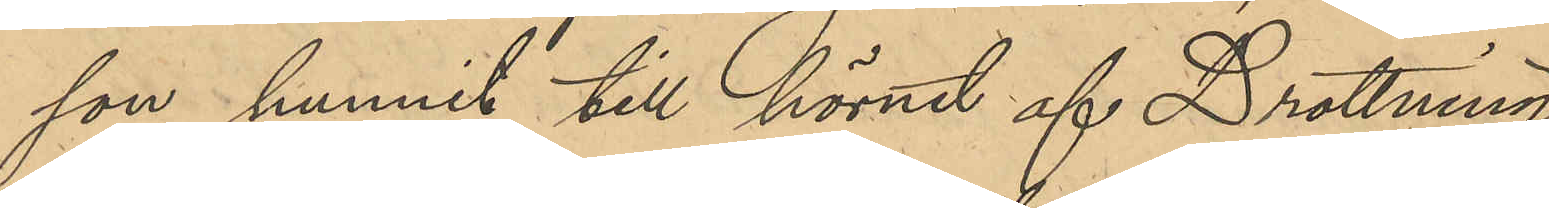son hunnit till hörnet af Drottning¬
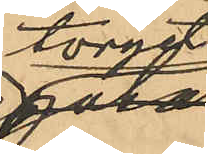torget
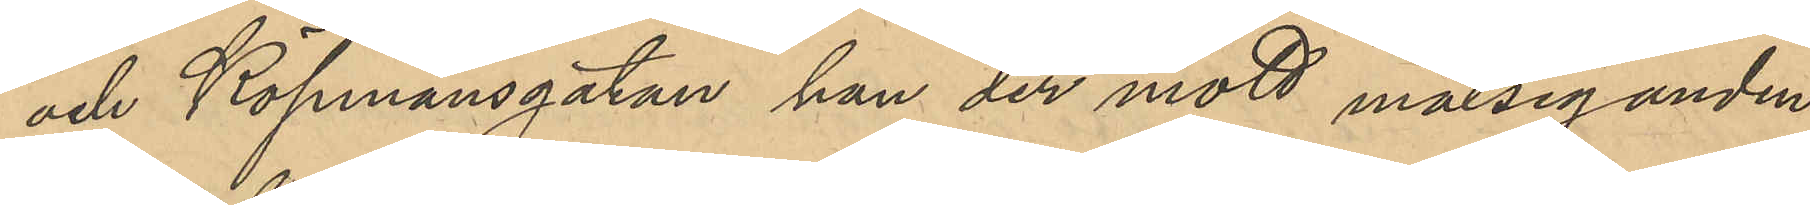och Köpmansgatan han der mött målseganden,
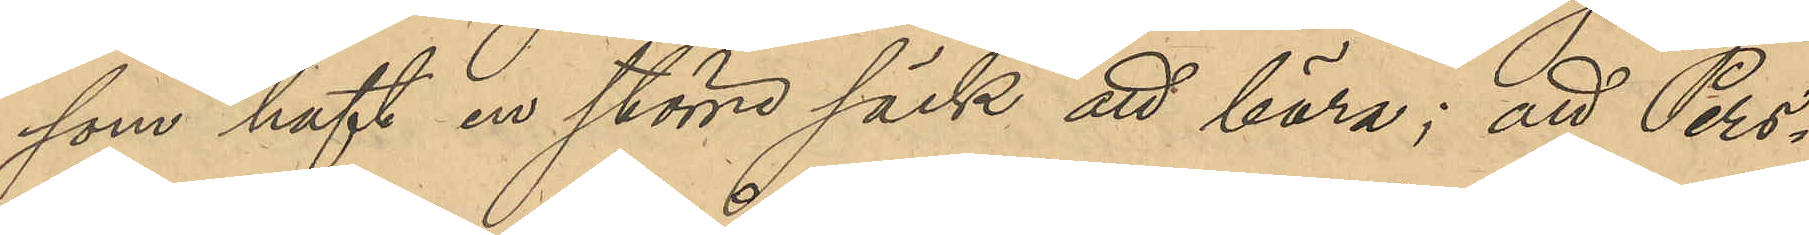som haft en större säck att bära; att Pers¬
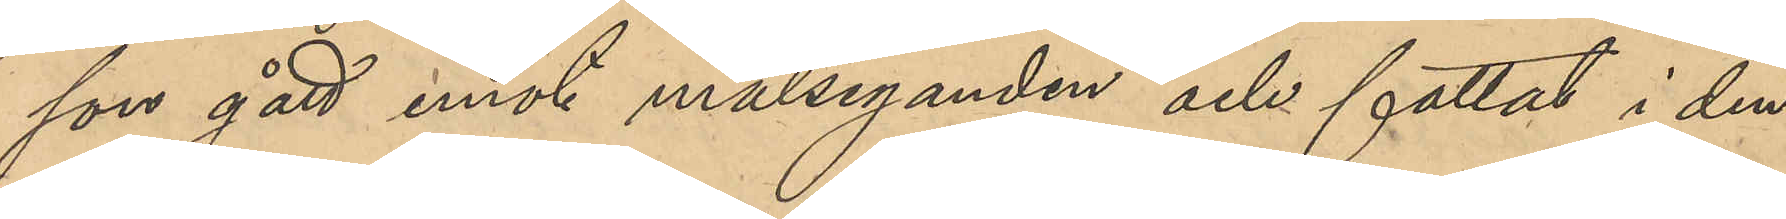son gått emot målseganden och fattat i den
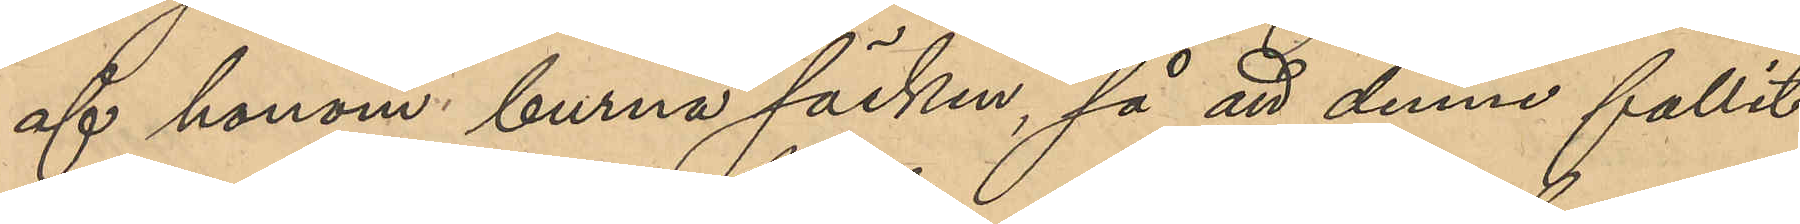af honom burna säcken, så att denne fallit
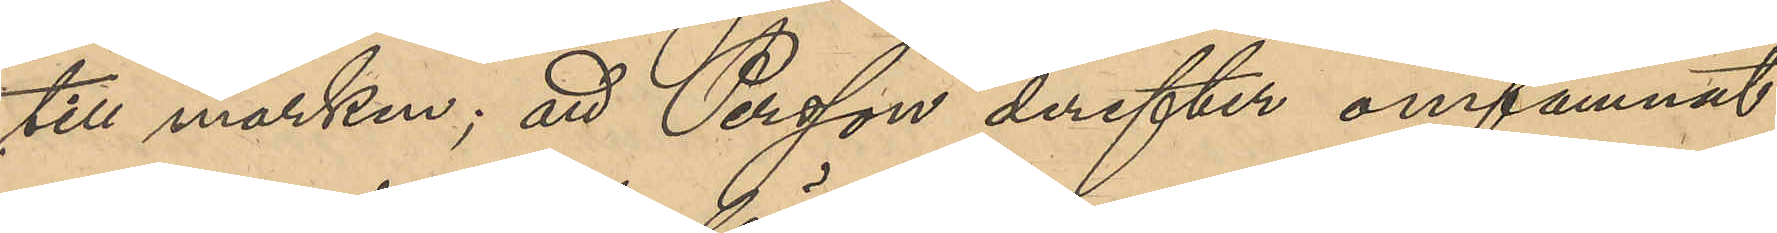till marken; att Persson derefter omfamnat
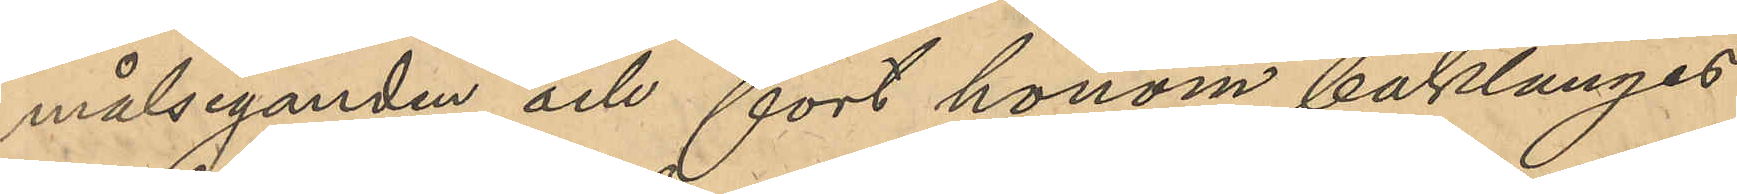målseganden och fört honom baklänges
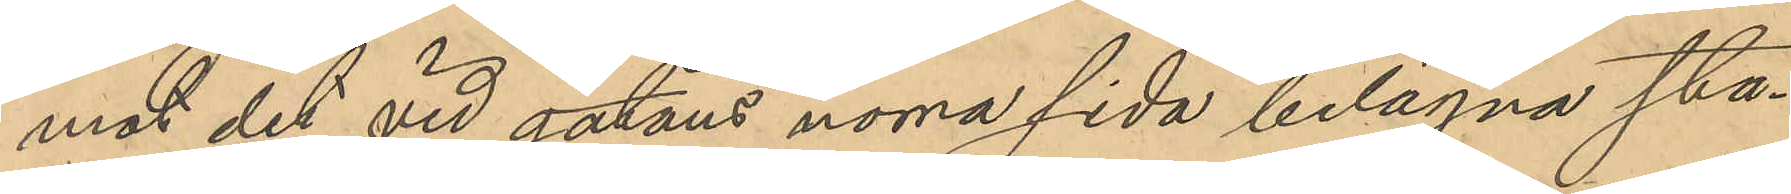mot det vid gatans norra sida belägna sta¬
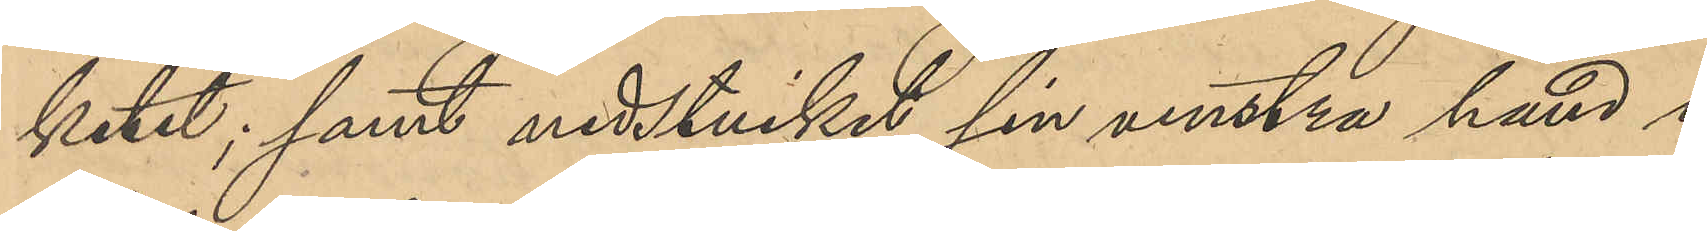ketet; samt nedstuckit sin venstra hand i
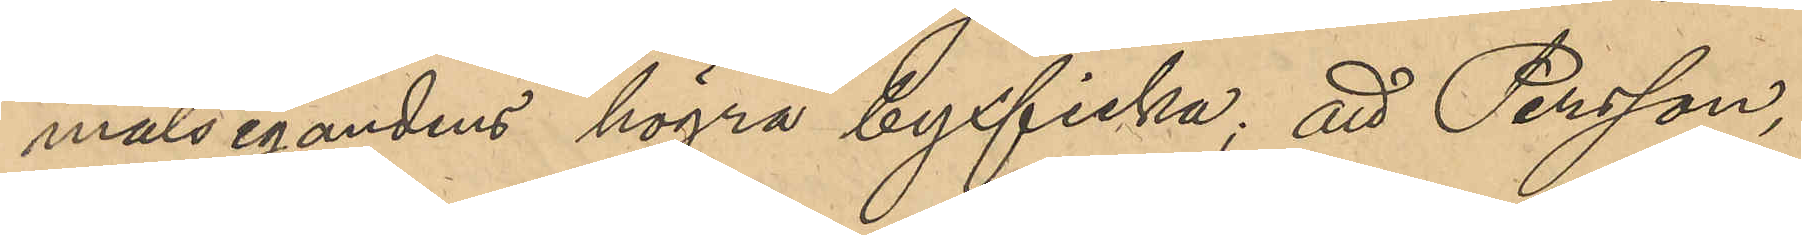målsegandens högra byxficka; att Persson,
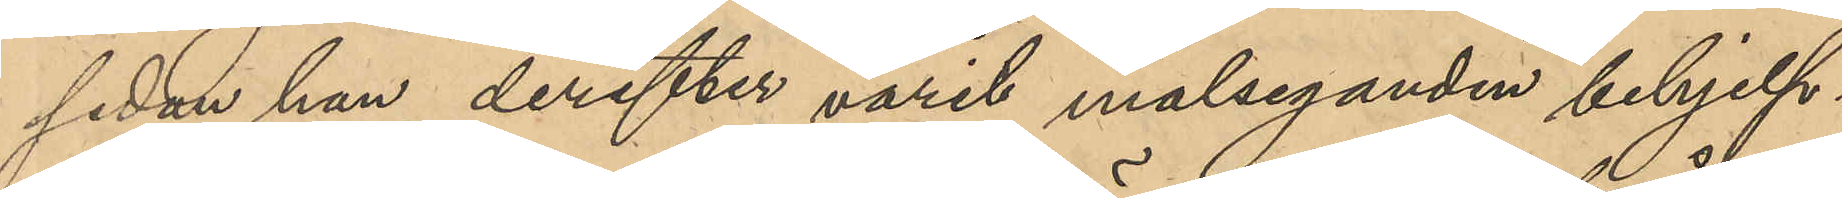sedan han derefter varit målsegnden behjelp¬
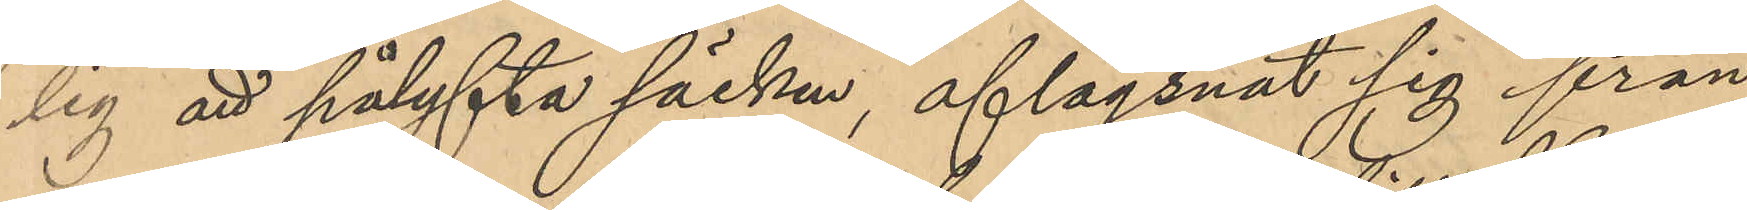lig att pålyfta säcken, aflägsnat sig från
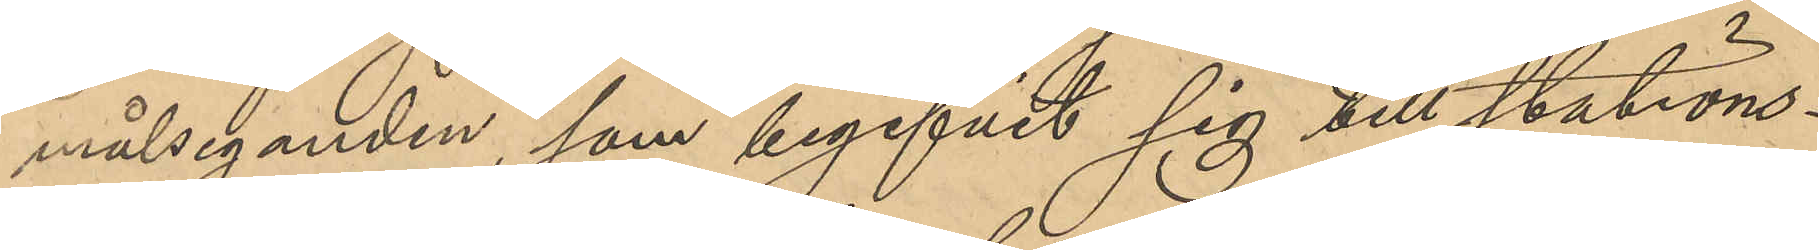målseganden, som begifvit sig till stations¬
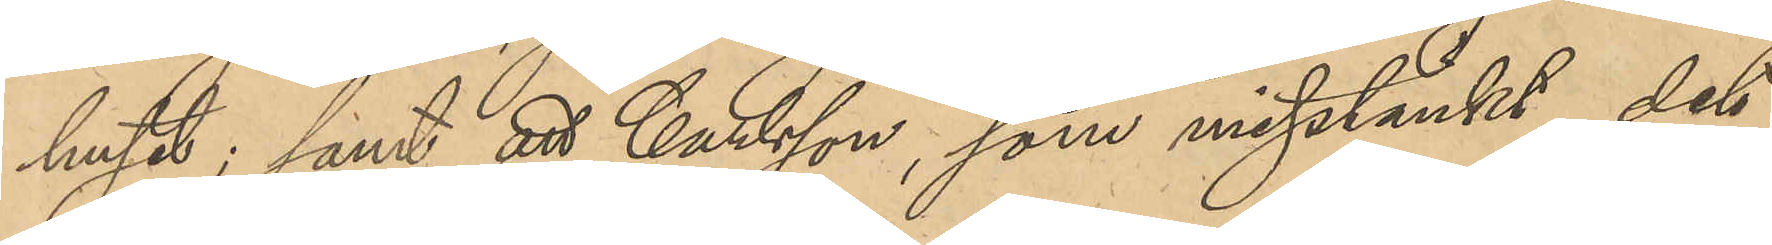huset; samt att Carlsson, som misstänkt det
